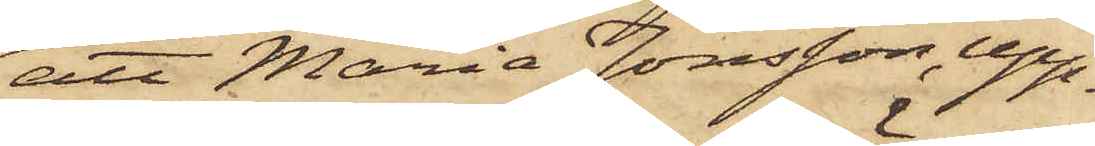att Maria Jonsson, upp¬
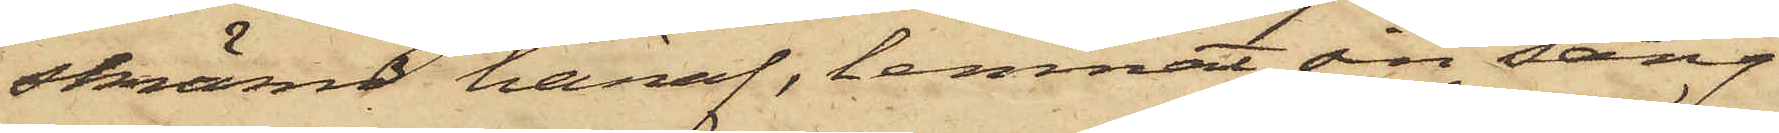skrämd häraf, lemnat sin säng
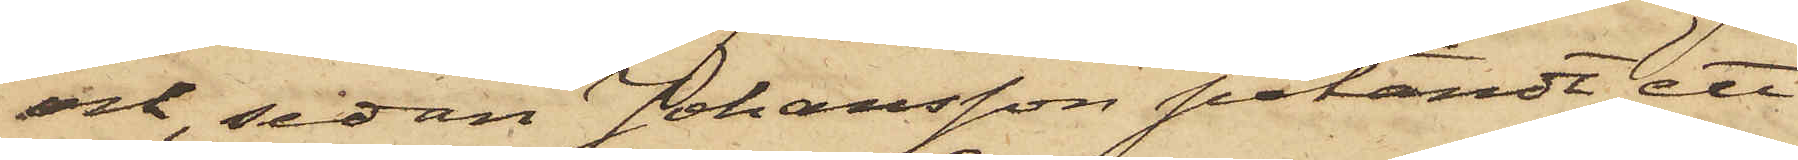och, sedan Johansson påtändt ett
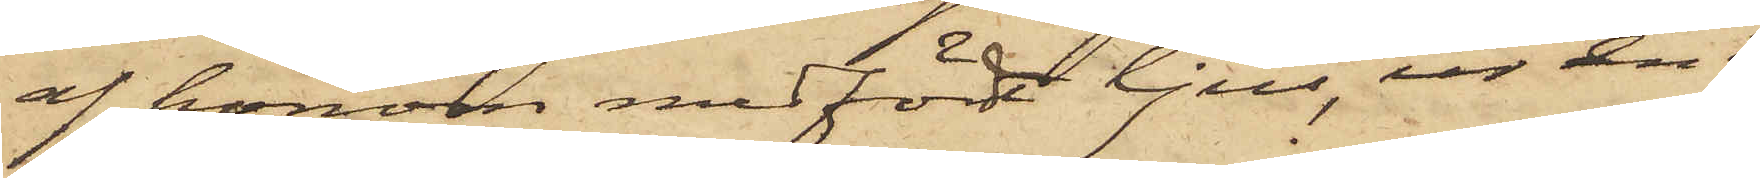af honom medfört ljus, ur en i
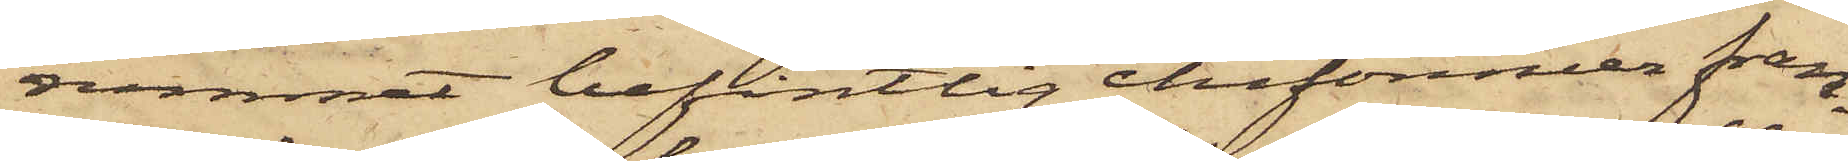rummet befintlig chifonnier fram¬
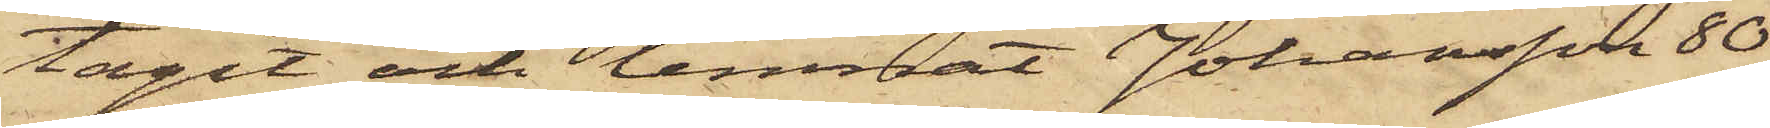tagit och lemnat Johansson 80
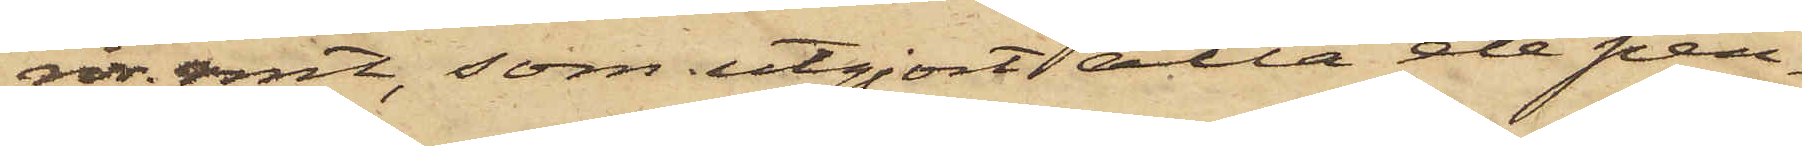rdr rmt, som utgjort alla de pen¬
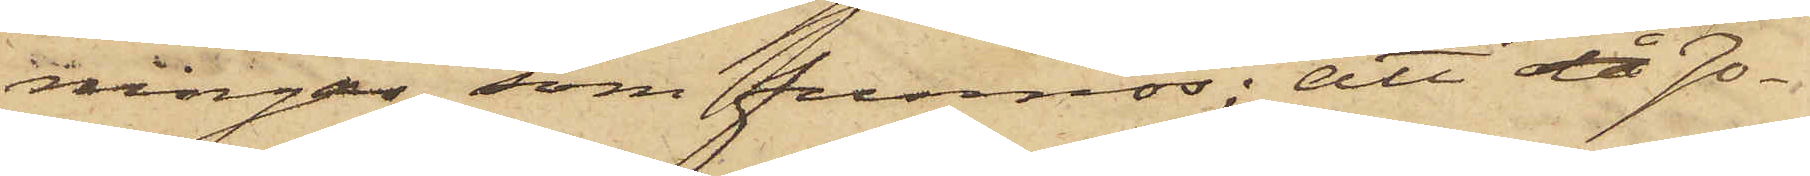ningar, som funnos; att då Jo¬
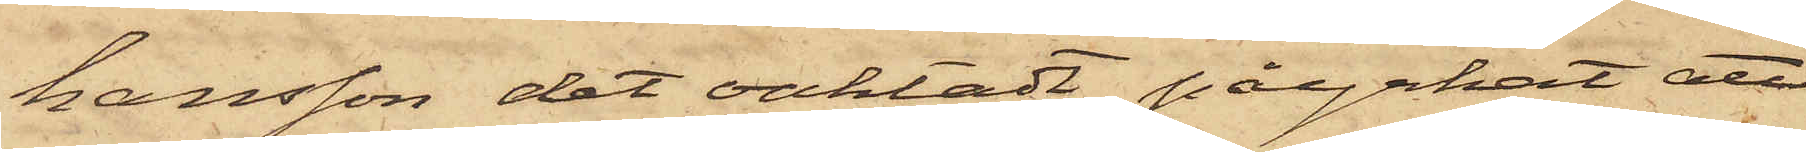hansson det oaktadt påyrkat att
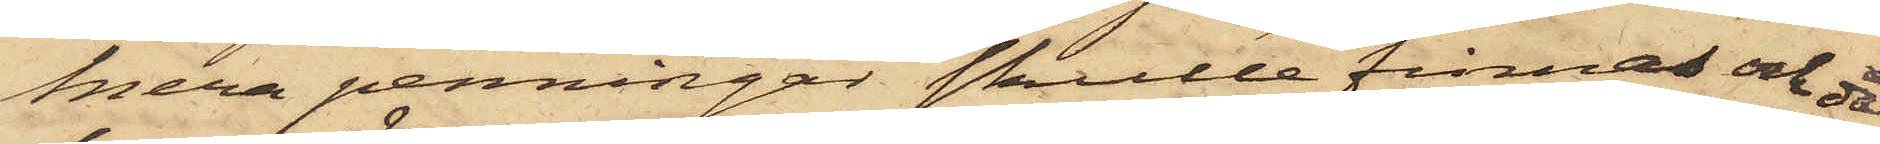mera penningar skulle finnas och då
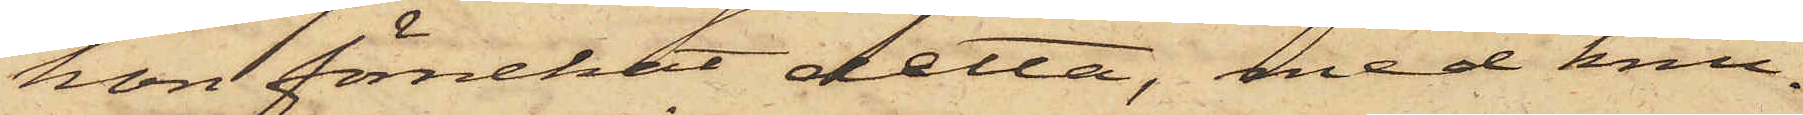hon förnekat detta, med knu¬
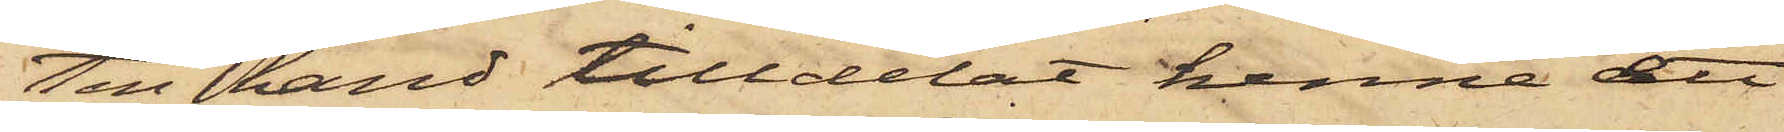ten hand tilldelat henne ett
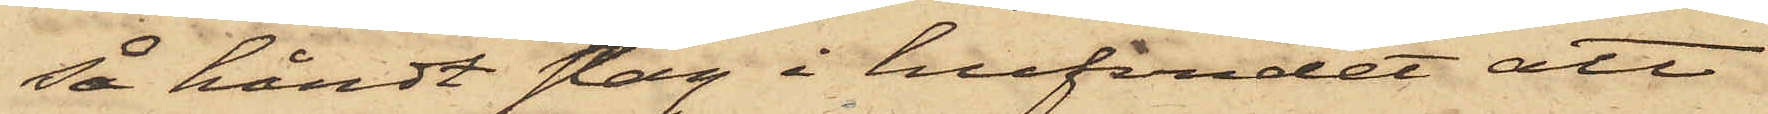så hårdt slag i hufvudet att
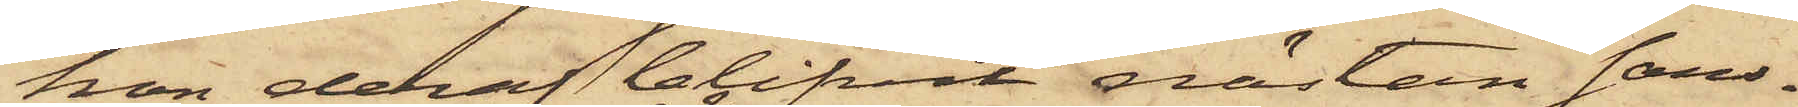hon deraf blifvit nästan sans¬
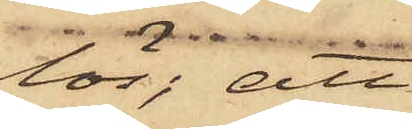lös; att
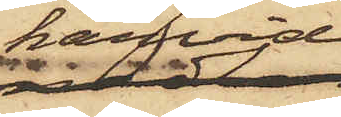härvid
